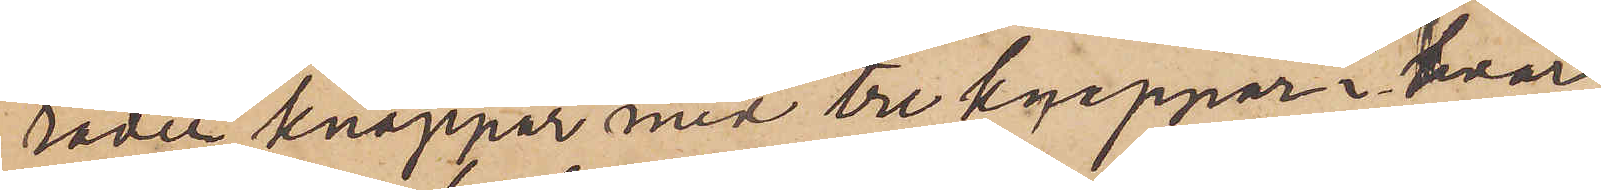rader knappar med tre knappar i hvar
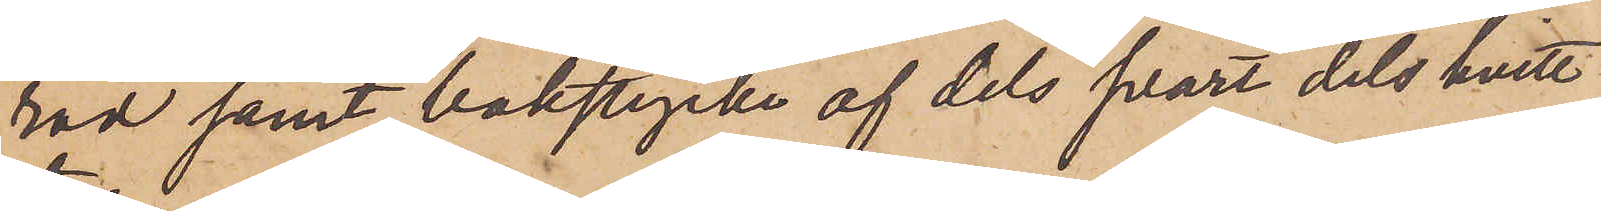rad samt bakstycke af dels svart dels hvitt
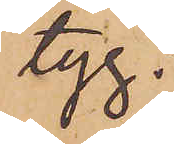tyg.
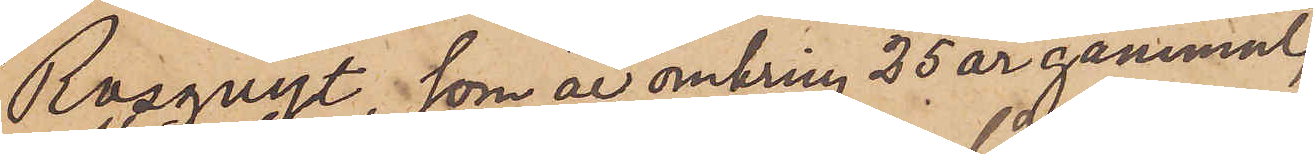Rosquist, som är omkring 25 år gammal,
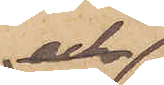och
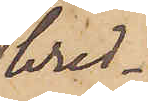bred¬
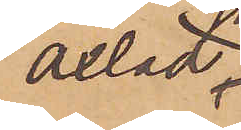axlad,
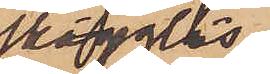skägglös
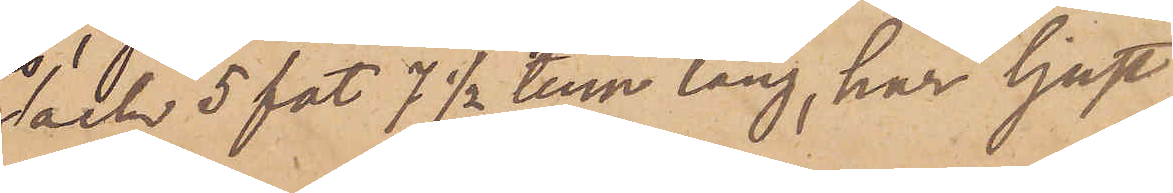och 5 fot 7 1/2 tum lång, har ljust
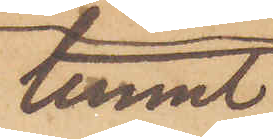tunnt
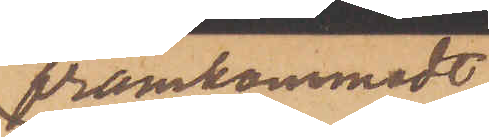framkammadt
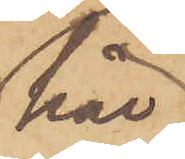hår
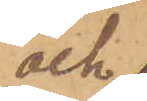och 
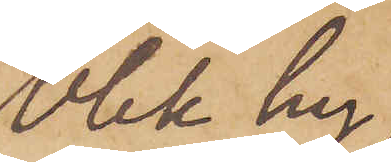blek hy,
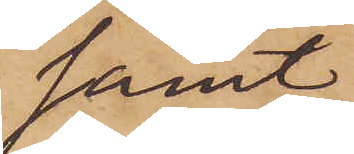samt
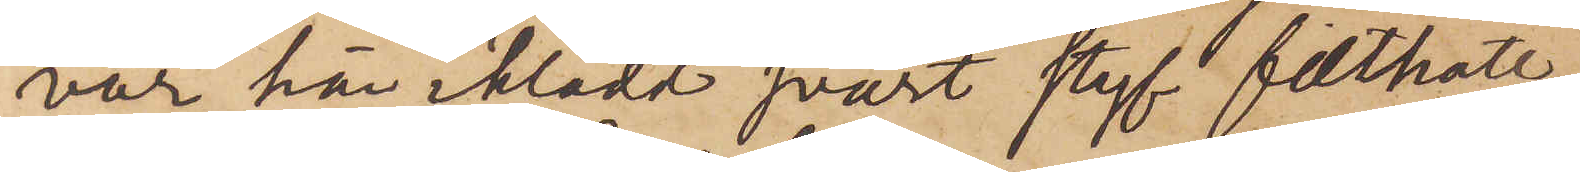var här iklädd svart styf filthatt,
